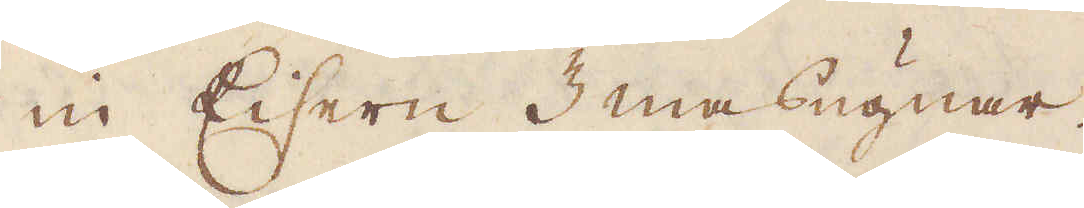in Eisern 3 masugnar.
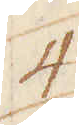4
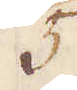5
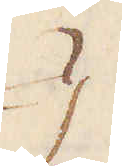}
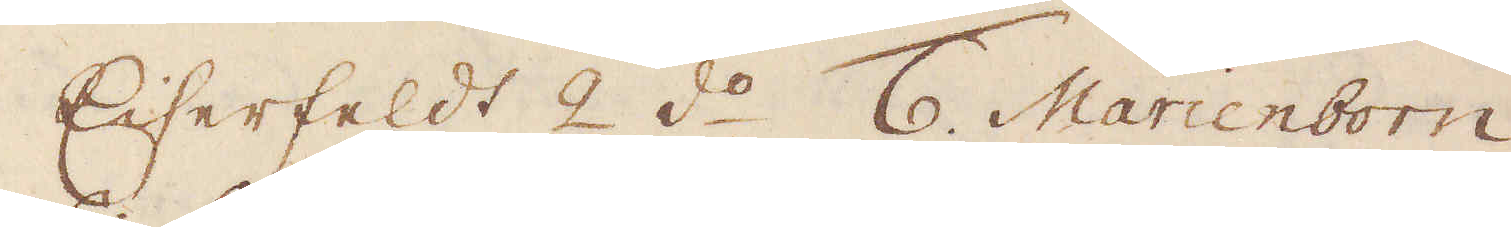Eiserfeldt 2 d:o 6. Marienborn.
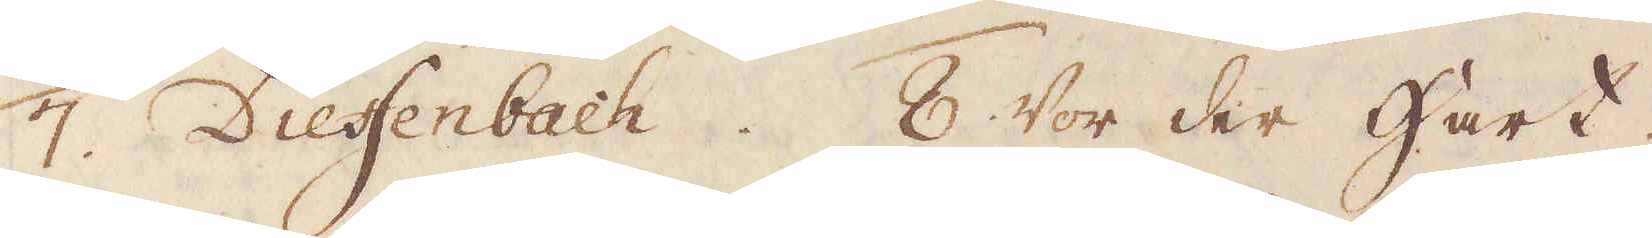7. Dieffenbach. 8. Wor der Hart.
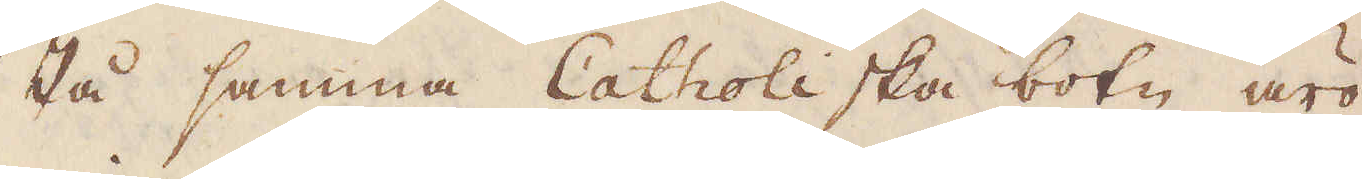På samma Catholiska botn äro
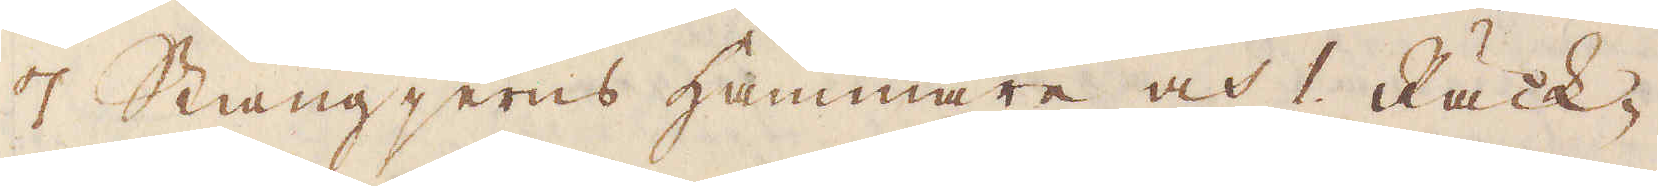7 Stångjerns Hammare och 1. Räck-
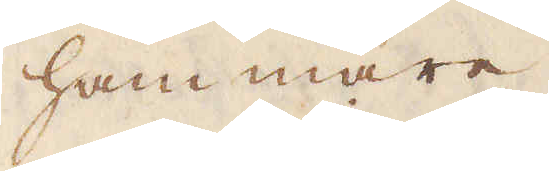hammare.
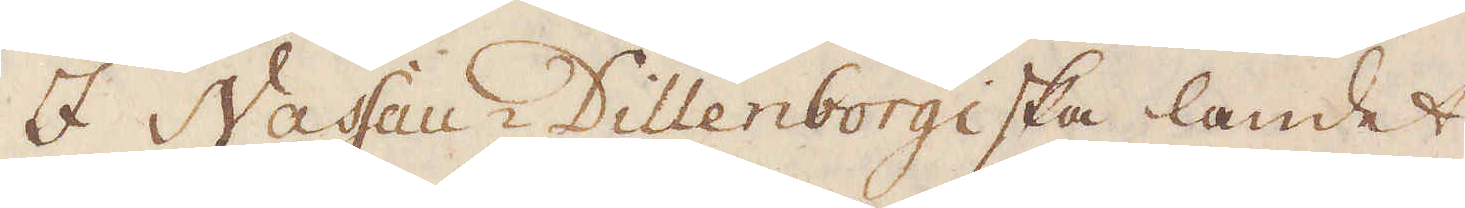I Nassau-Dillenborgiska landet
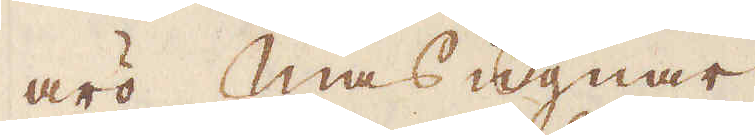äro masugnar
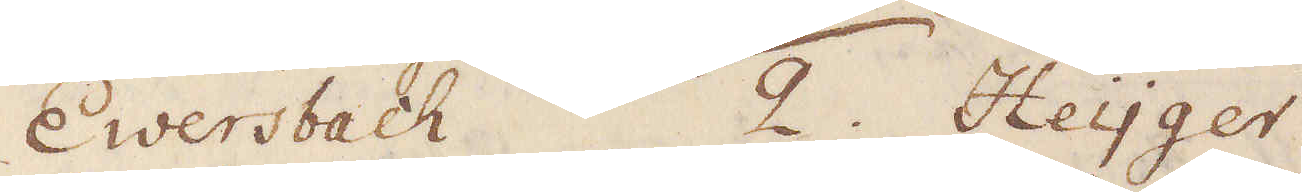1. Ewersbach 2. Heyger
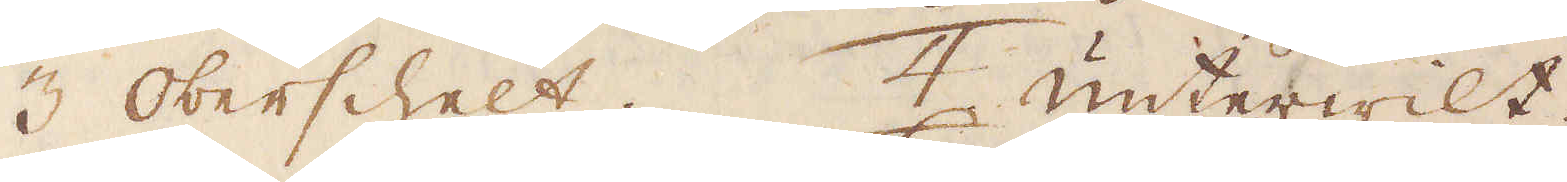3 Oberschelt 4. Unterwilt.
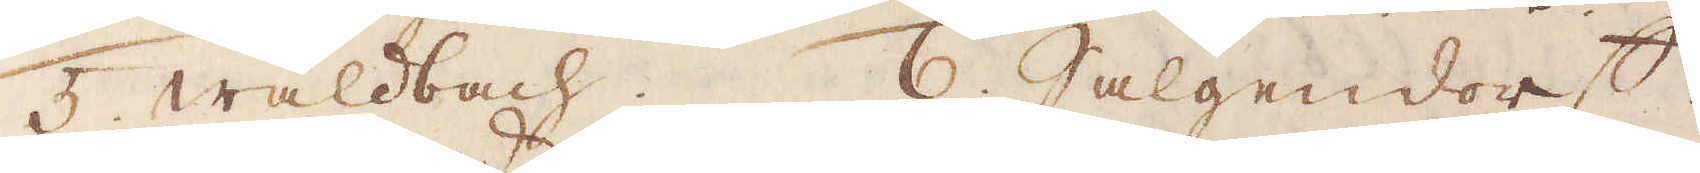5. Waldbach. 6. Salgendorff.
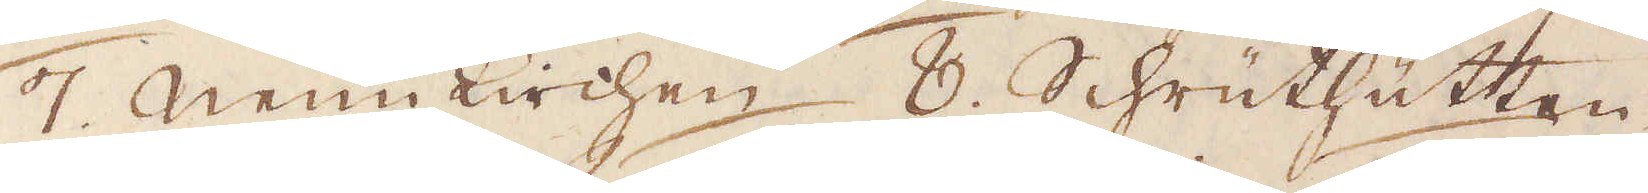7. Neünkirchen 8. Schrüthütten
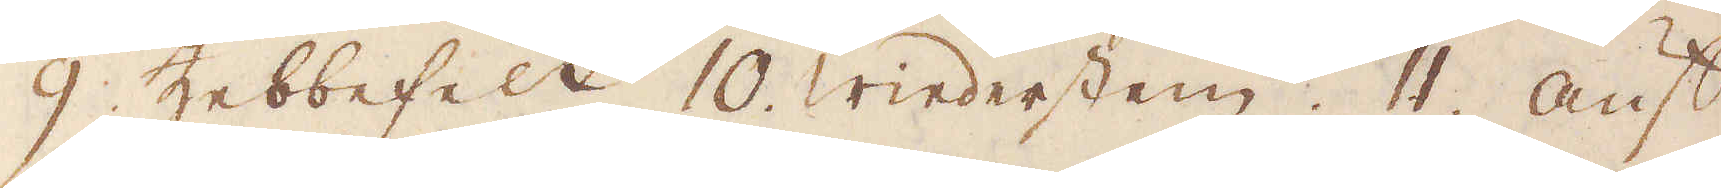9. Zebbefelt 10. Wiederstein. 11. Auf
